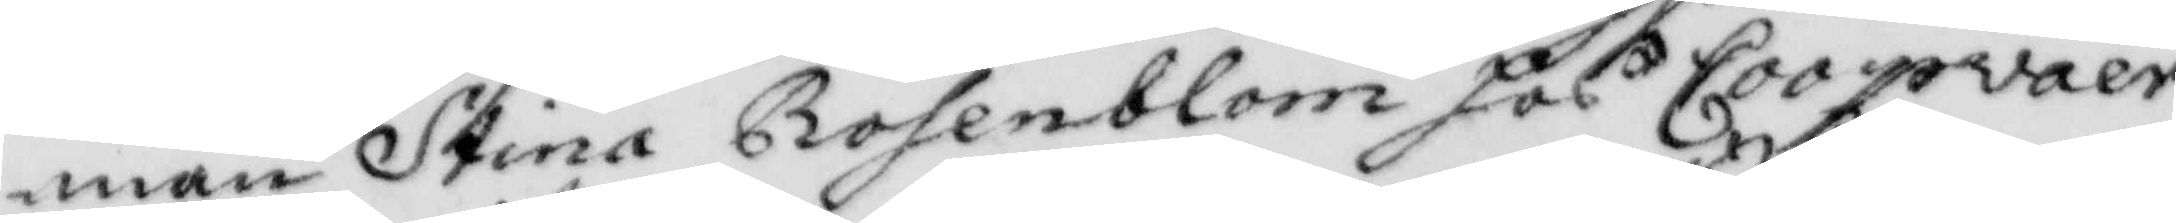man Stina Rosenblom hos Coopwaer¬
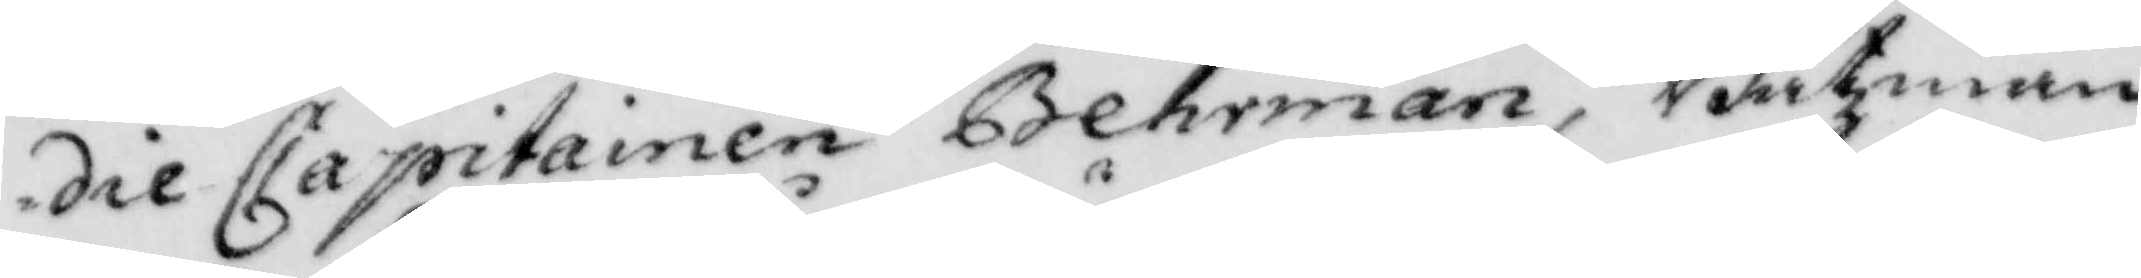die Capitainen Behrman, Båtzman¬
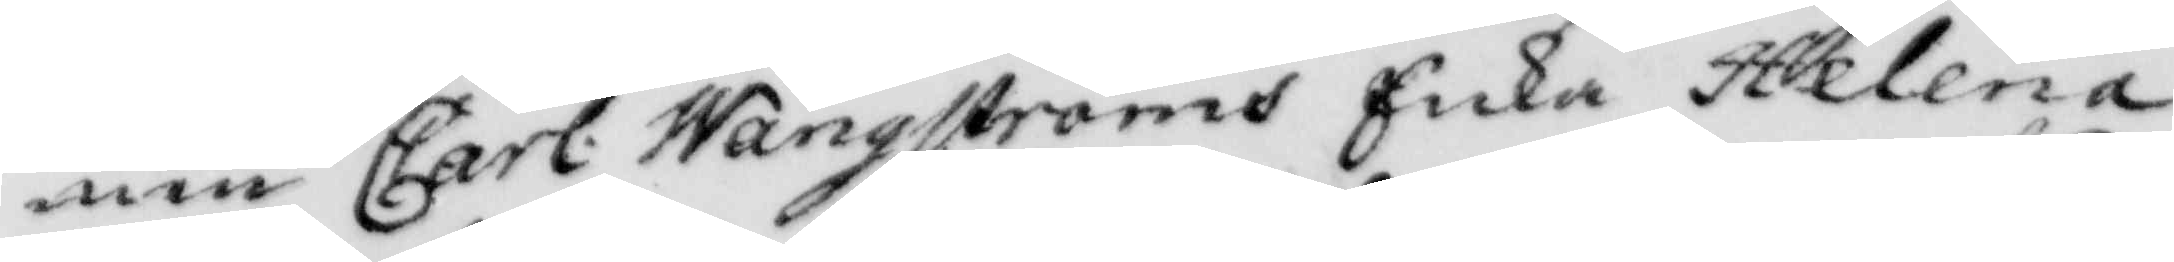nen Carl Wångströms Enka Helena
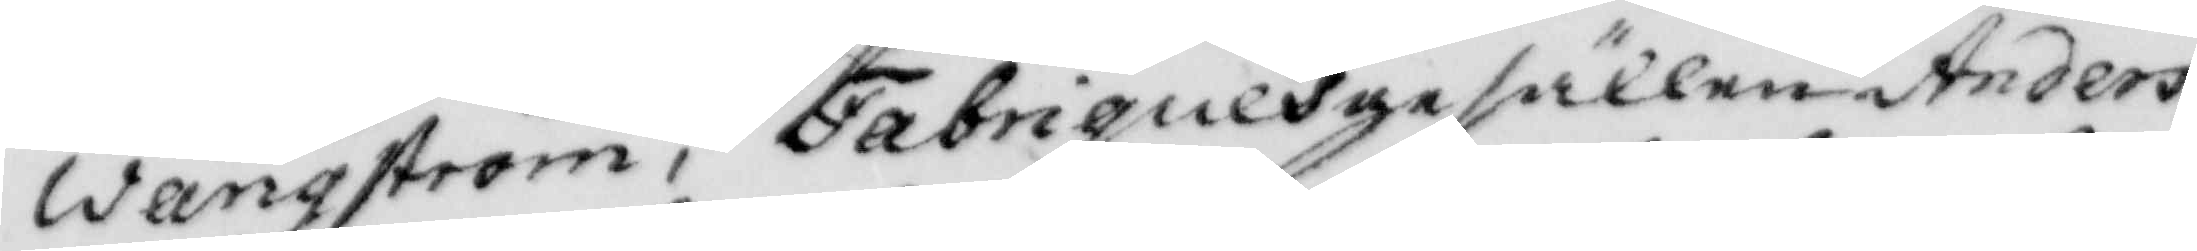Wångström, Fabriquesgesällen Anders
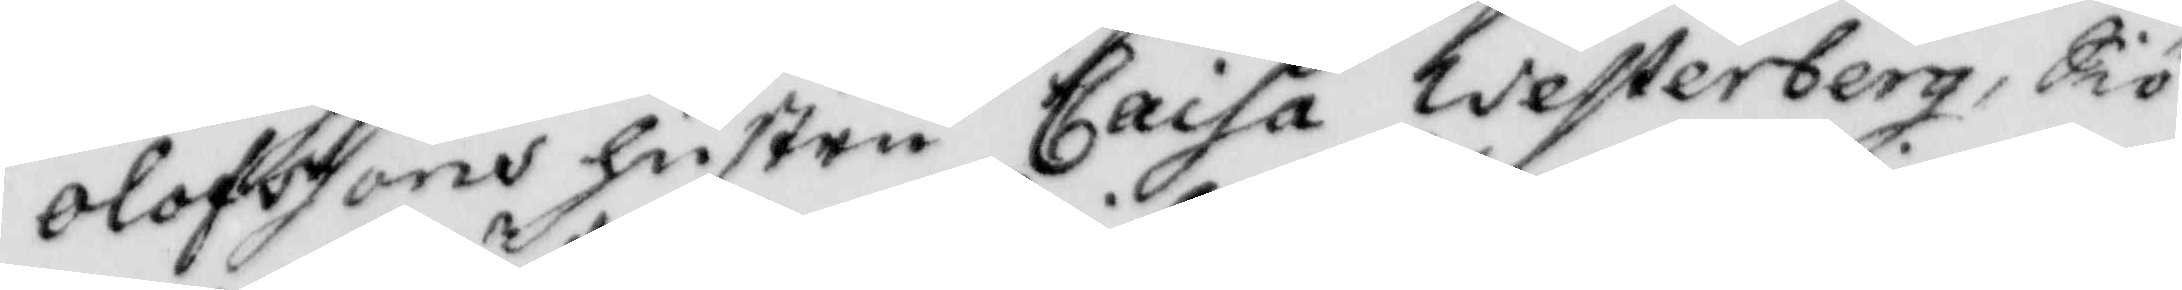Olofssons hustru Caisa Westerberg, Siö¬
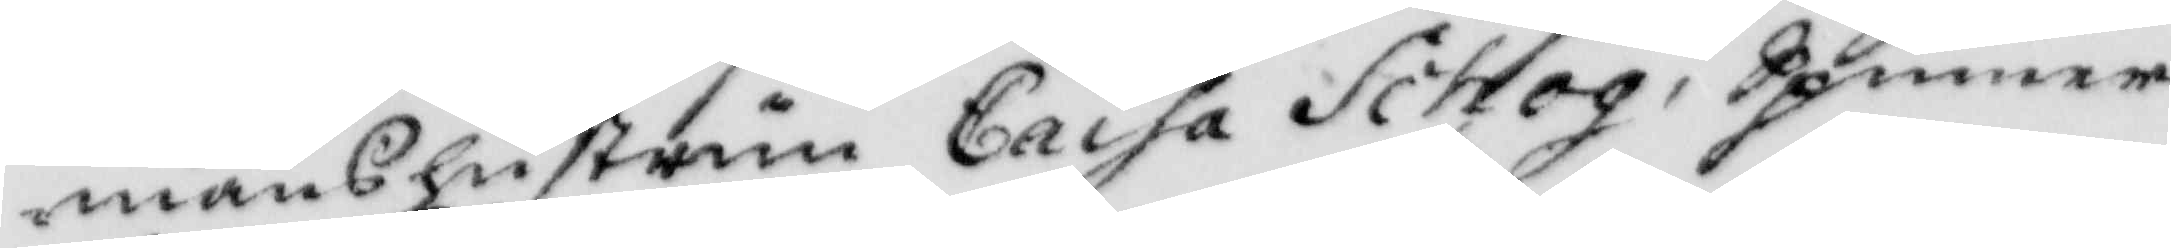manshustrun Caisa Schog, Spinner¬
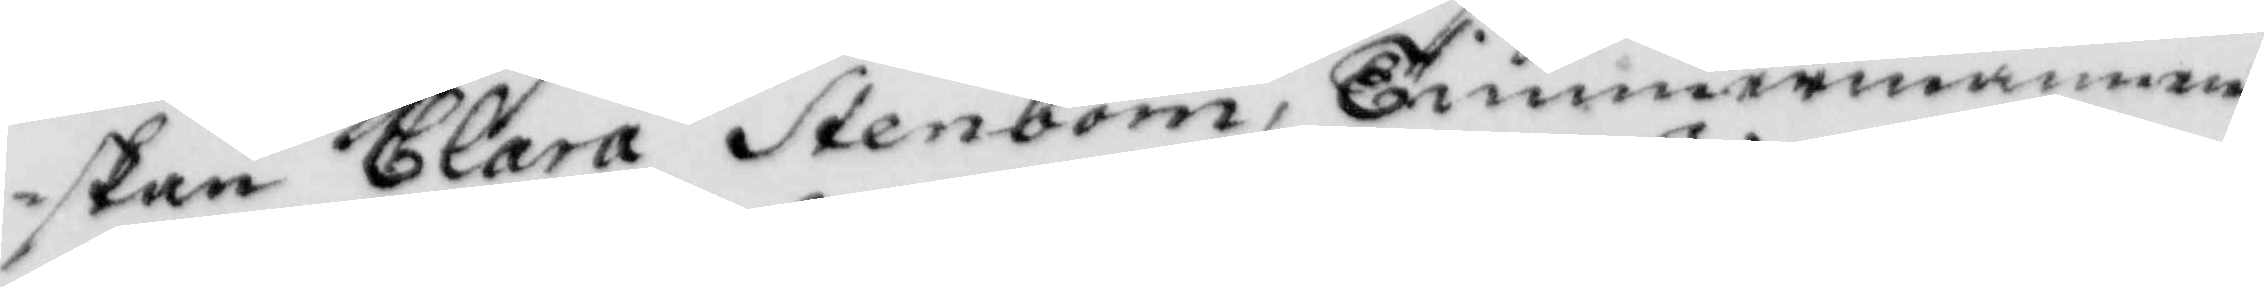skan Clara Stenbom, Timmermannen
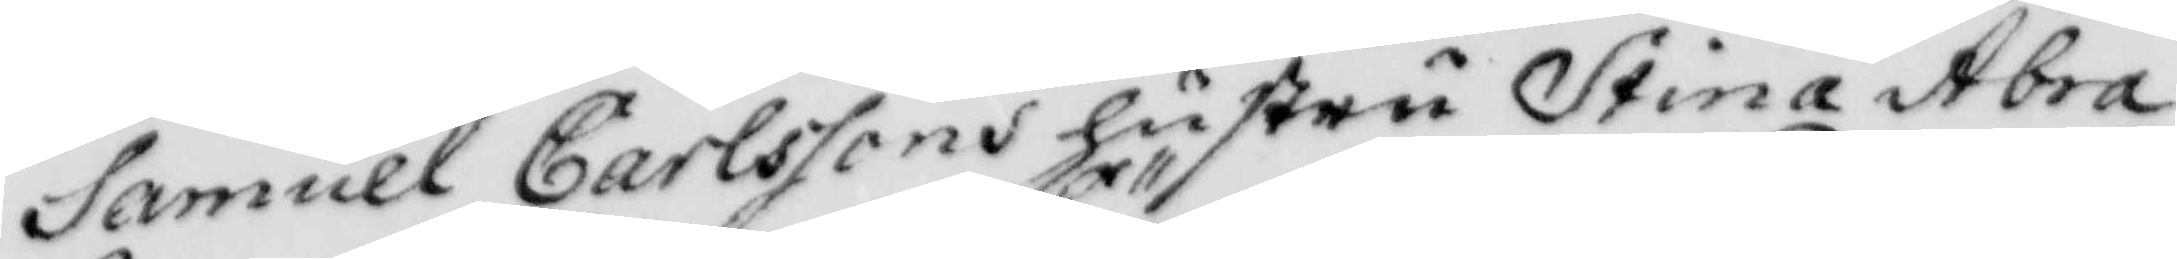Samuel Carlssons hustru Stina Abra¬
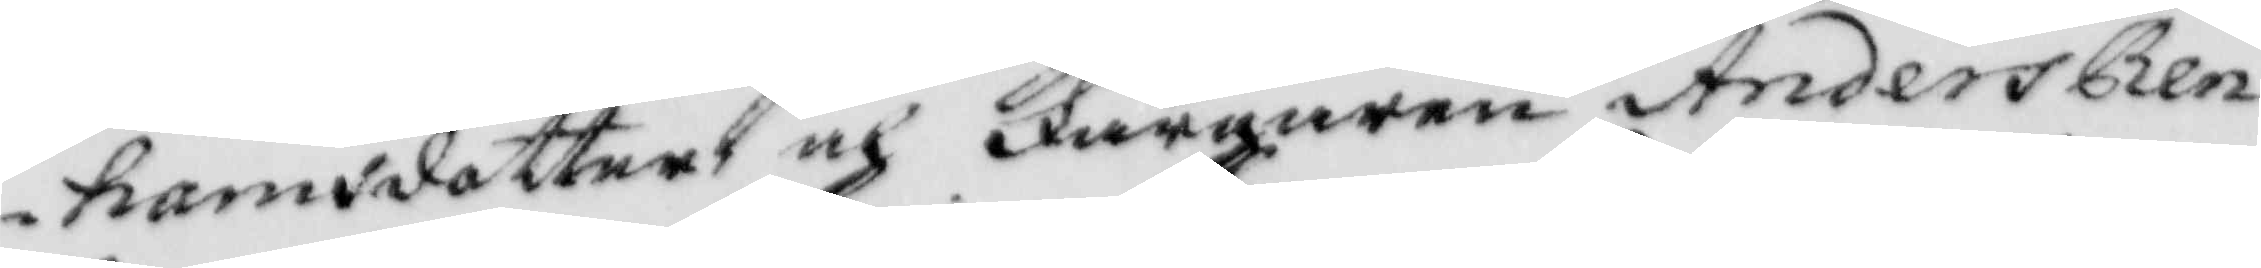hamsdotter och Färgaren Anders Ren¬
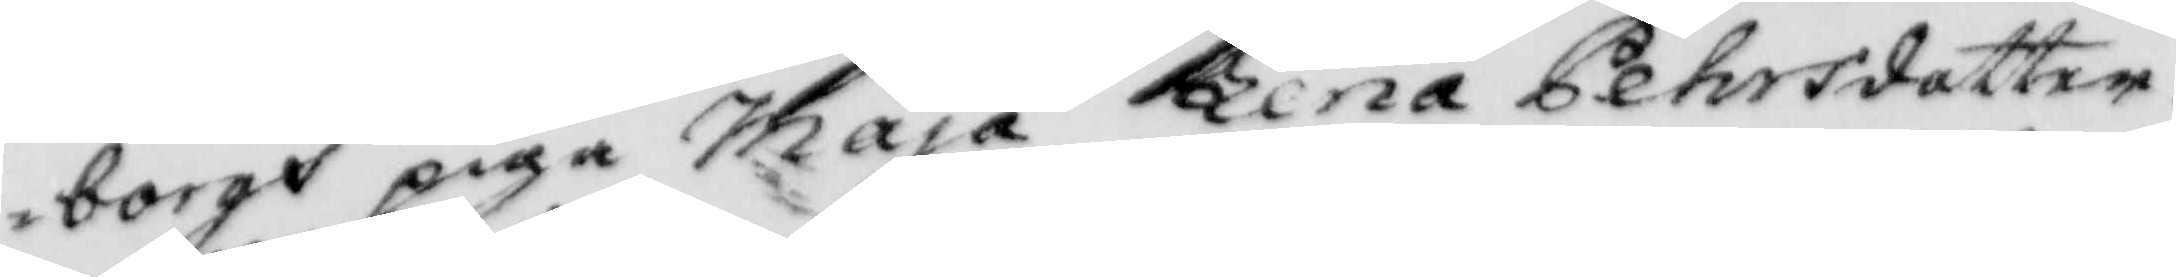borgs piga Maja Lena Pehrsdotter.
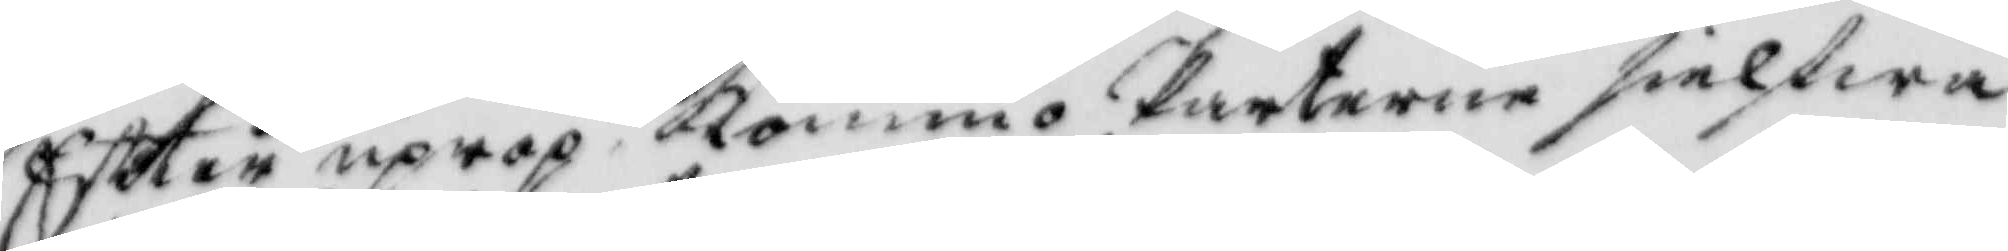Efter uprop kommo Parterne sielfwa
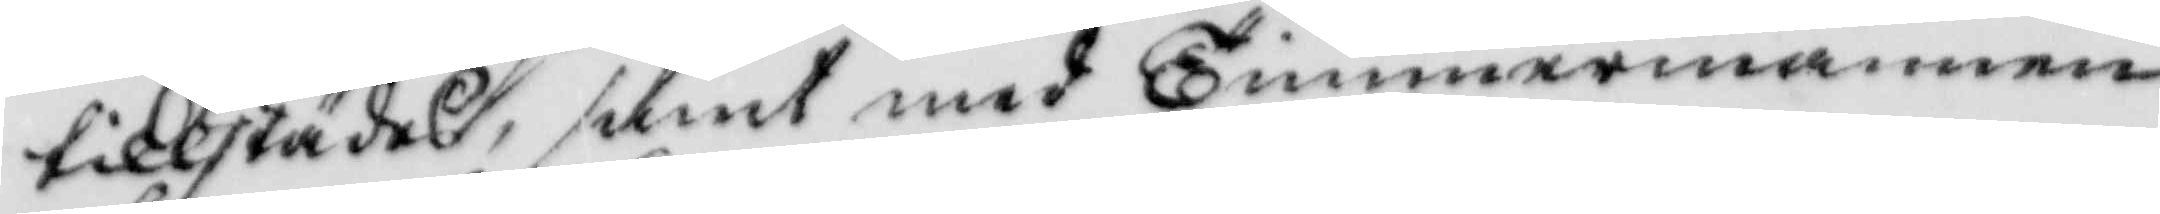tillstädes, samt med Timmermannen
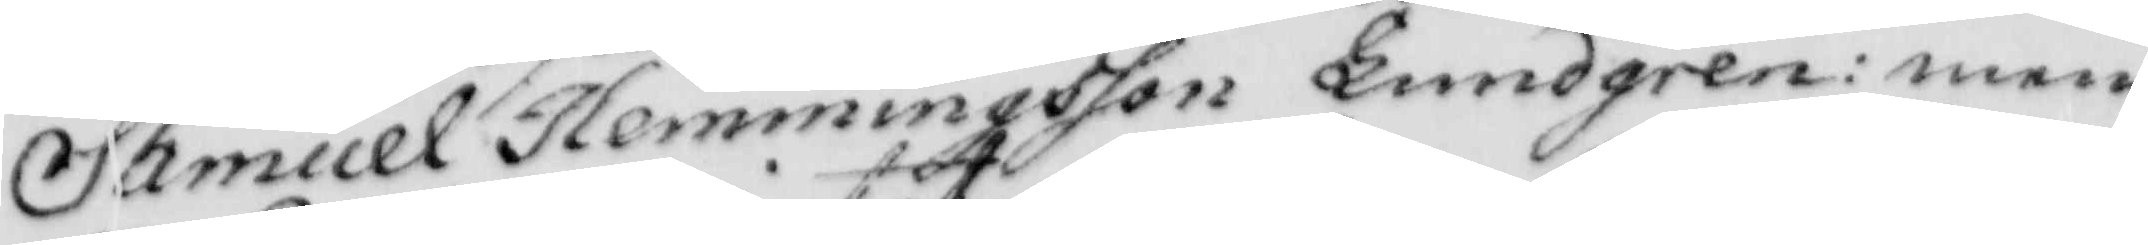Samuel Hemmingsson Lundgren: men
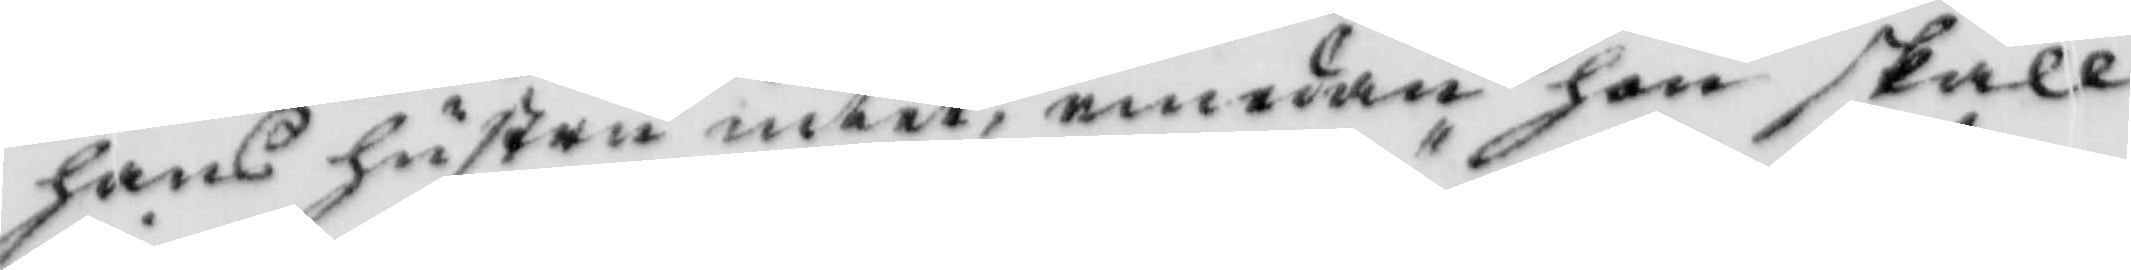hans hustru intet, emedan hon skall
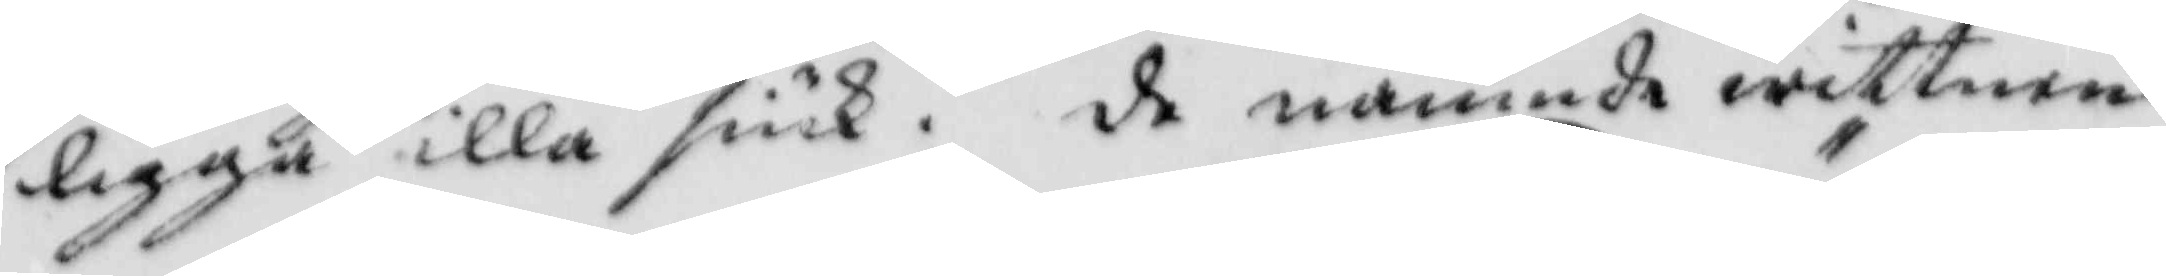ligga illa siuk. de nämnde wittnen
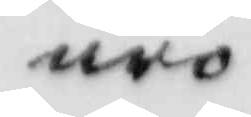äro
